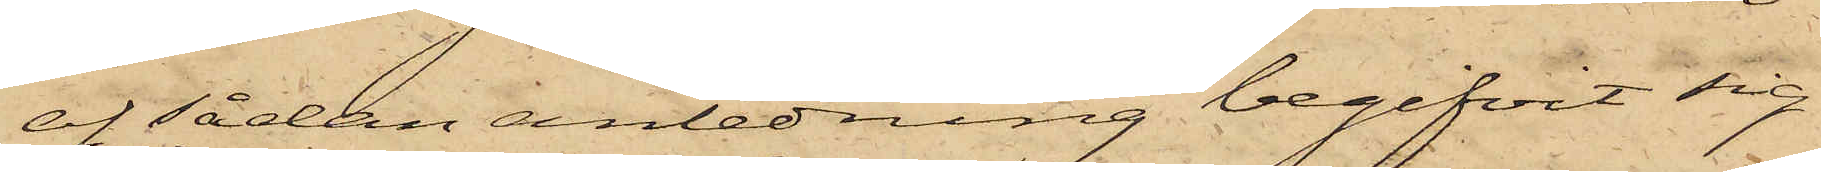at sådan anledning begifvit sig
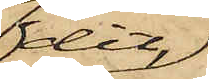dit,
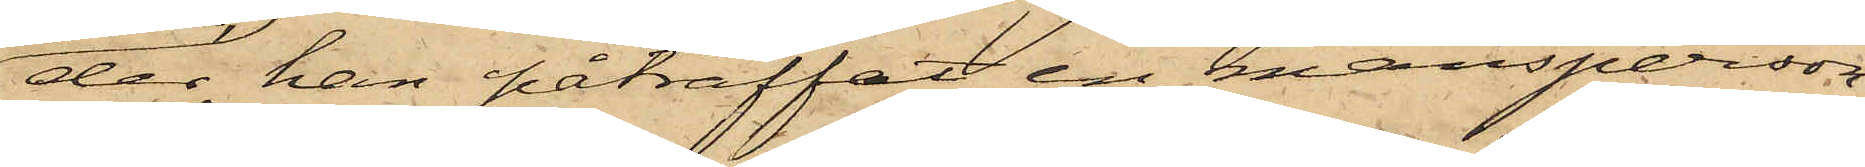der han påträffat en mansperson
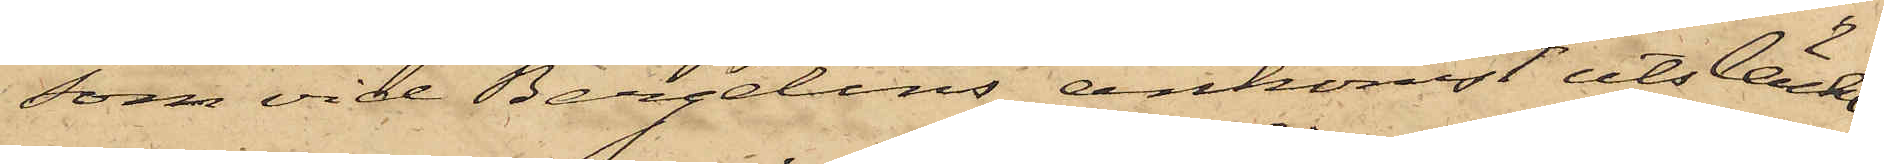som vid Bergelins ankomst utsläckt
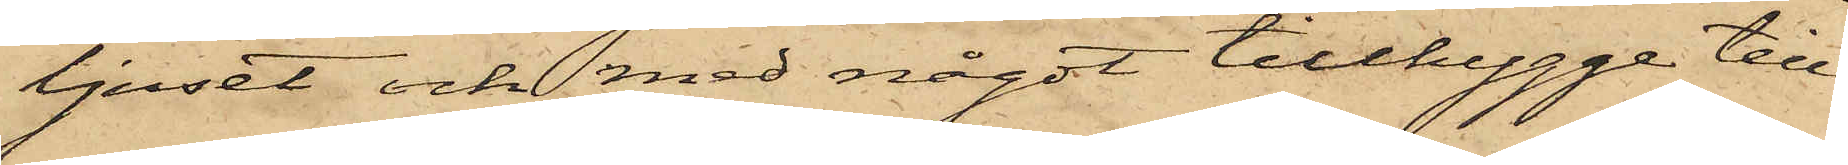ljuset och med något tillhygge till¬
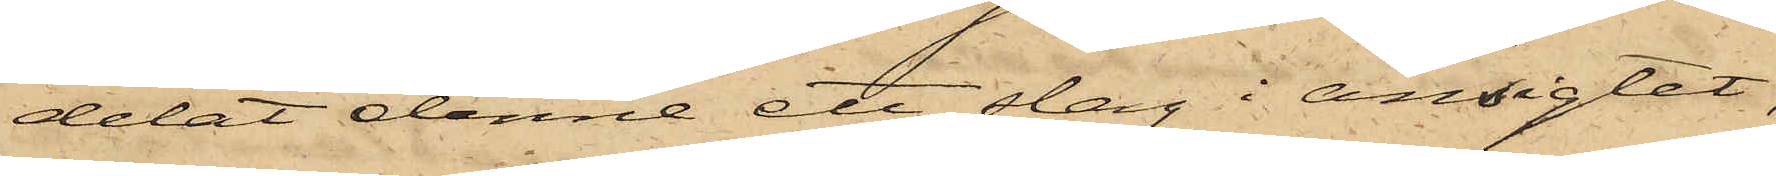delat denne ett dag i ansigtet,
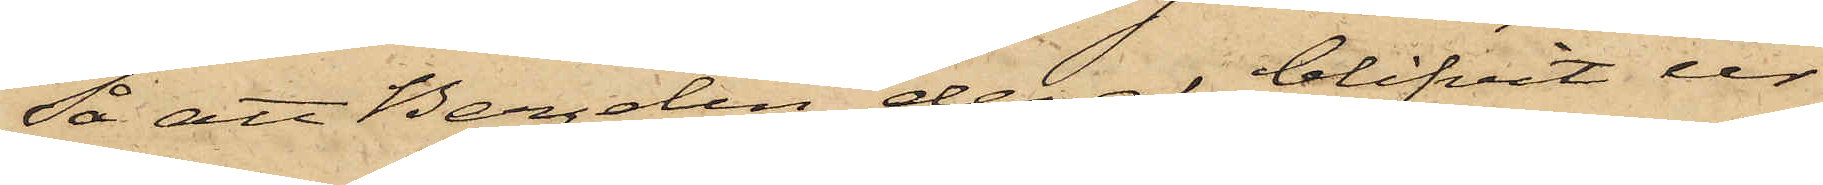Så att Bergelin deraf blifvit ur¬
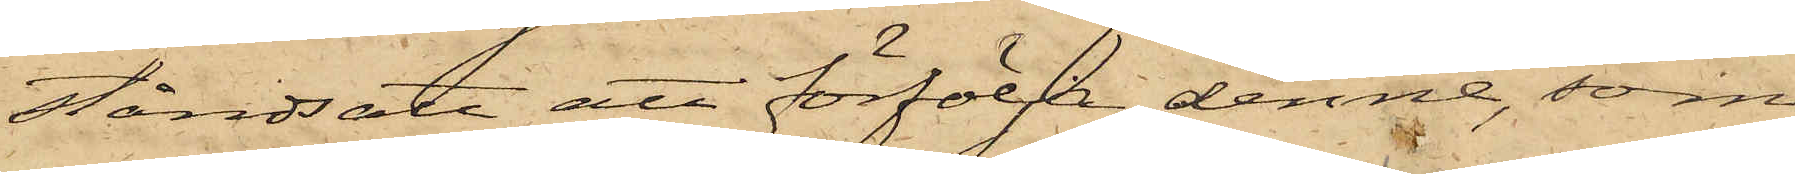ståndsatt att förfölja denne, som
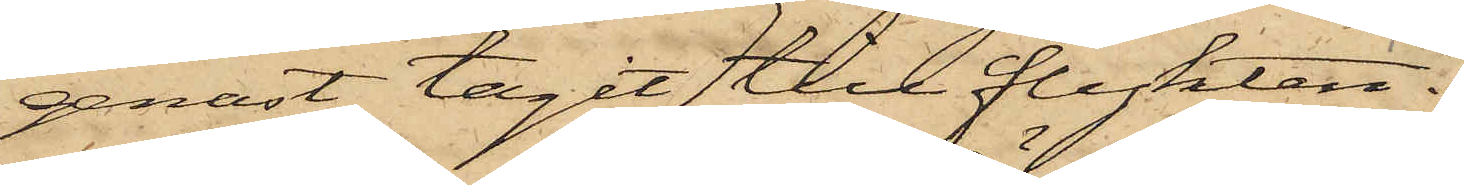genast tagit till flykten.
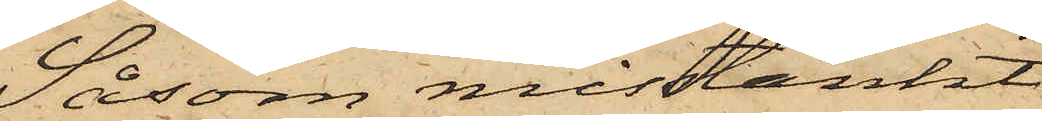Såsom misstänkt
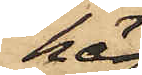här¬
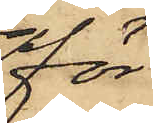för,
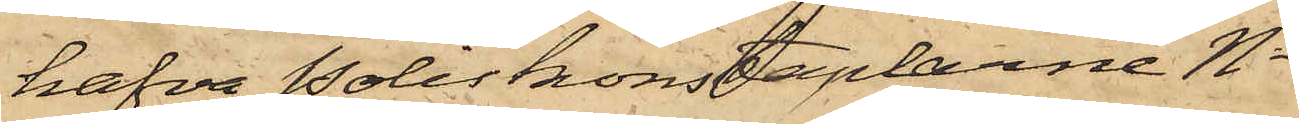hafva Poliskonstaplarne No
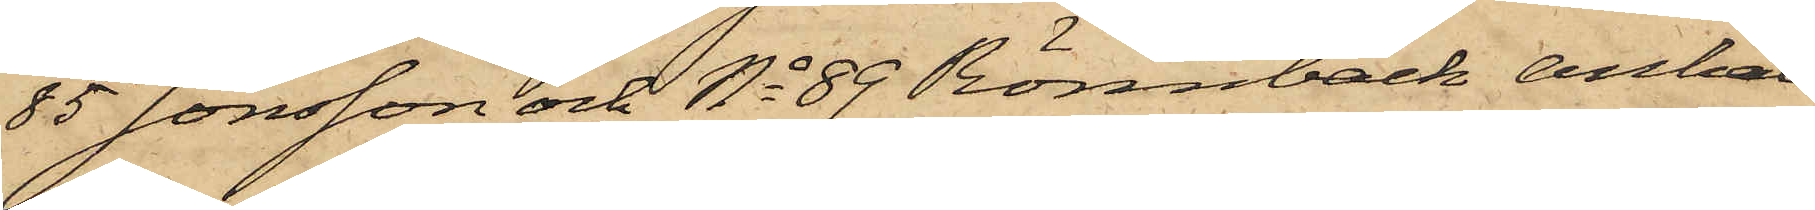85 Jönsson och No 89 Rönnbäck anhål¬
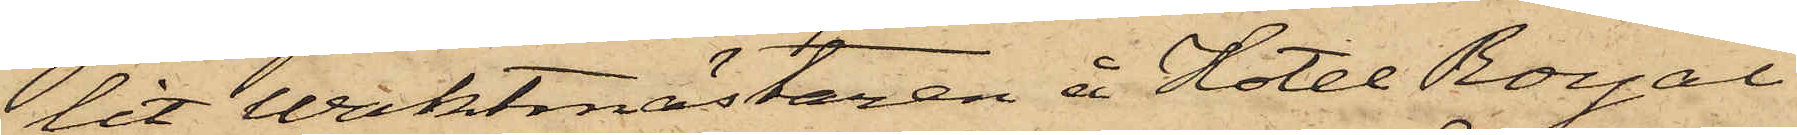lit vaktmästaren å Hotel Royal
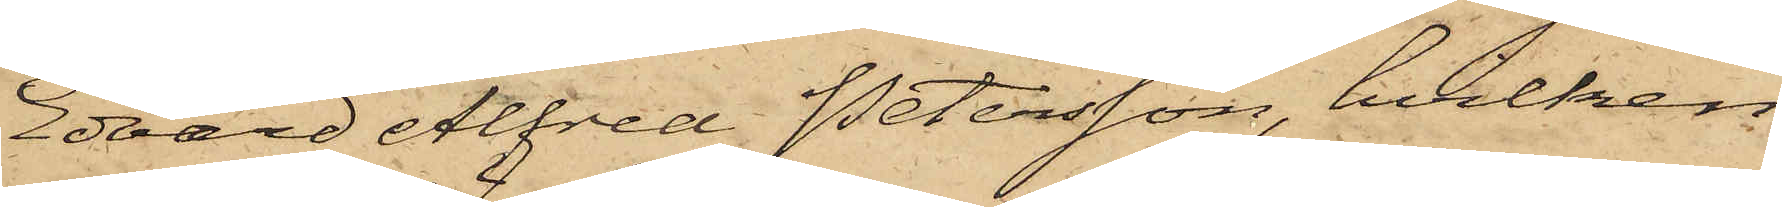Edvard Alfred Petersson, hvilken
